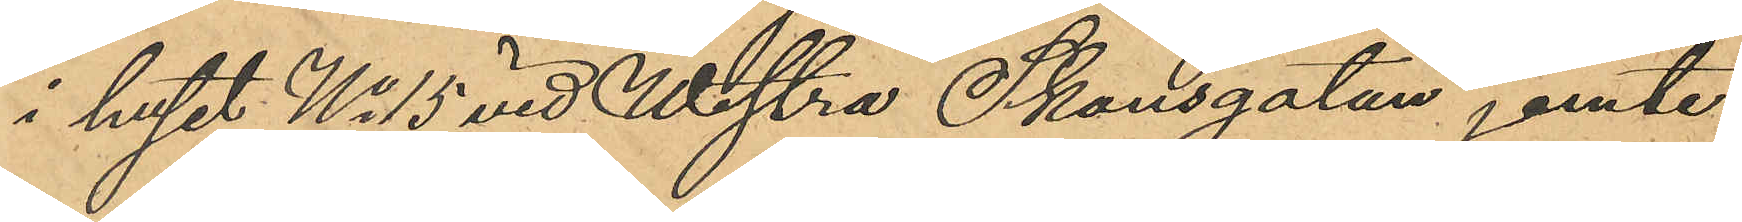i huset No 15 vid Westra Skansgatan jemte
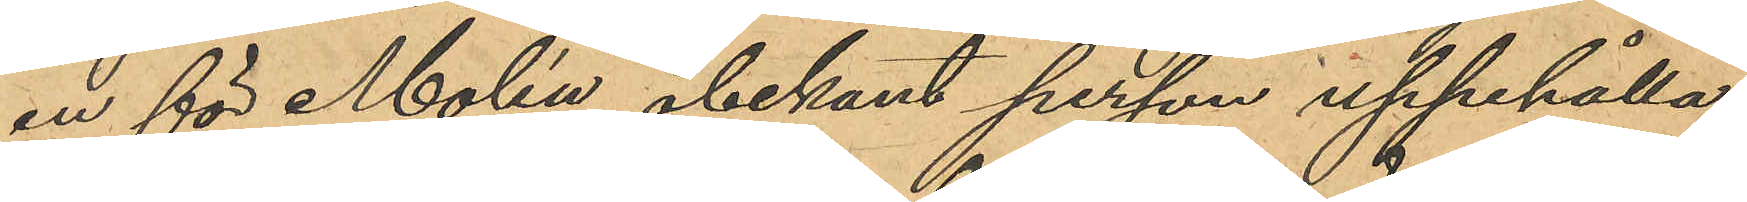en för Molén obekant person uppehålla
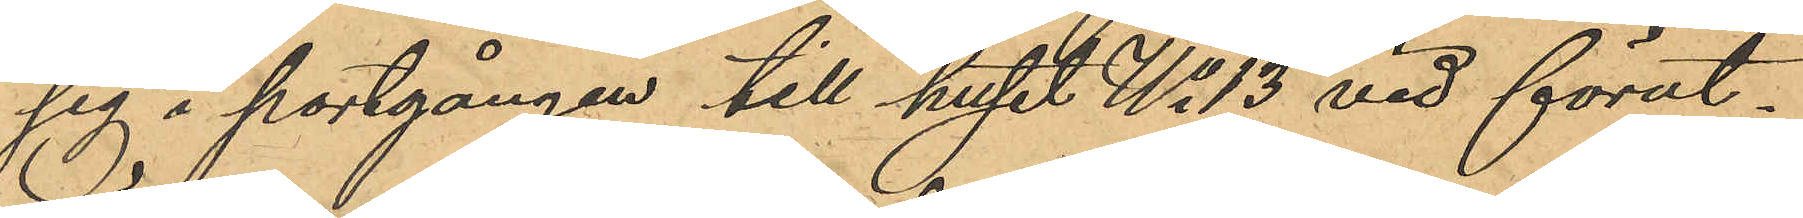sig i portgången till huset No 13 vid förut¬
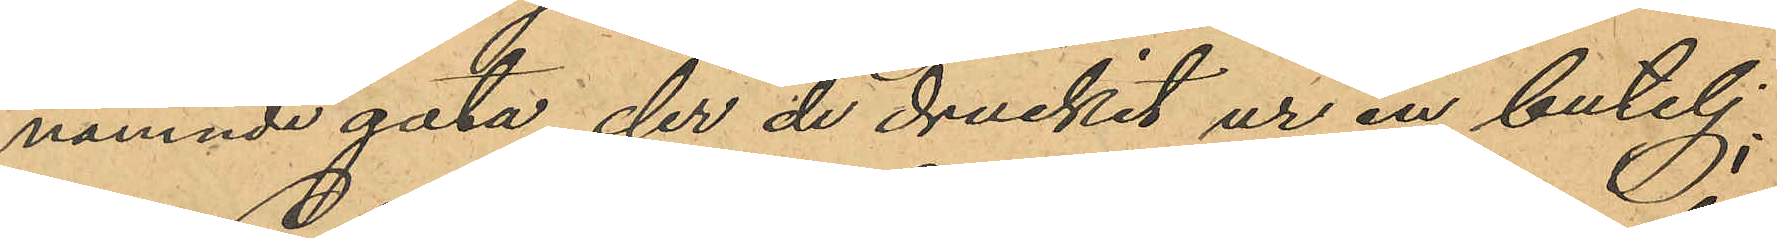nämnde gata, der de druckit ur en butelj;
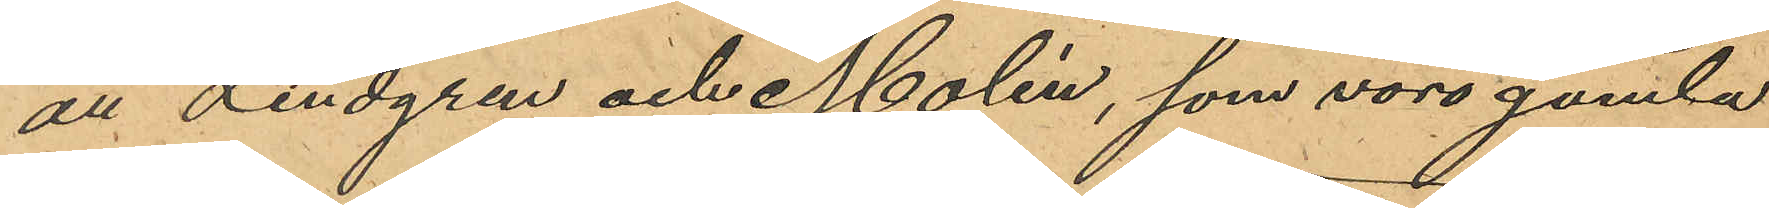att Lindgren och Molén, som voro gamla
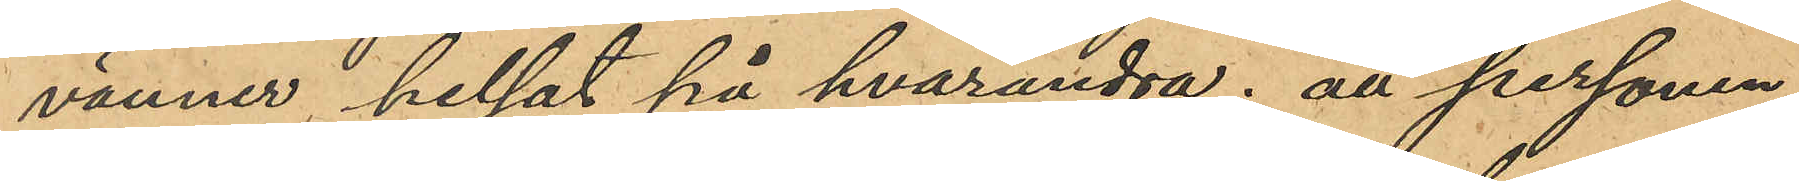vänner helsat på hvarandra; att personen
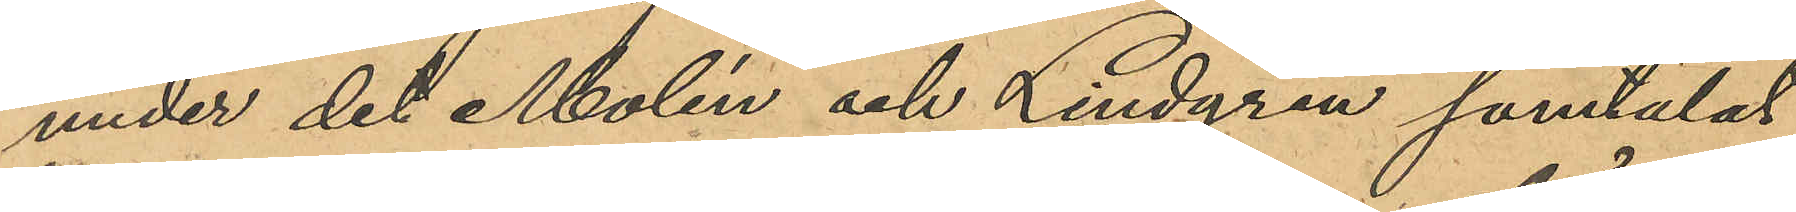under det Molén och Lindgren samtalat
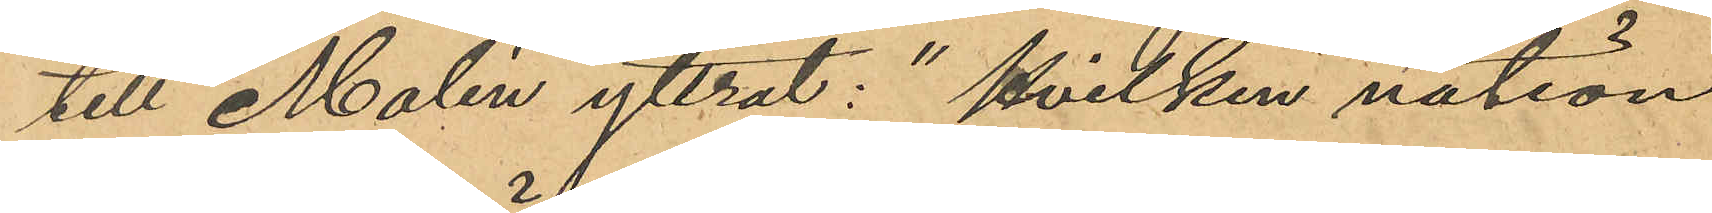till Molén yttrat: "hvilken nation
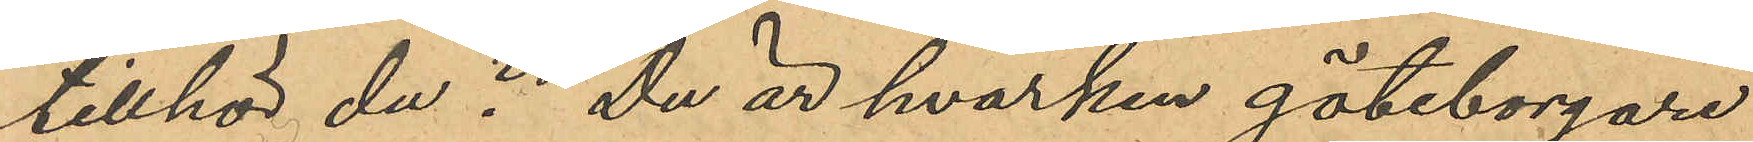tillhör du? Du är hvarken göteborgare
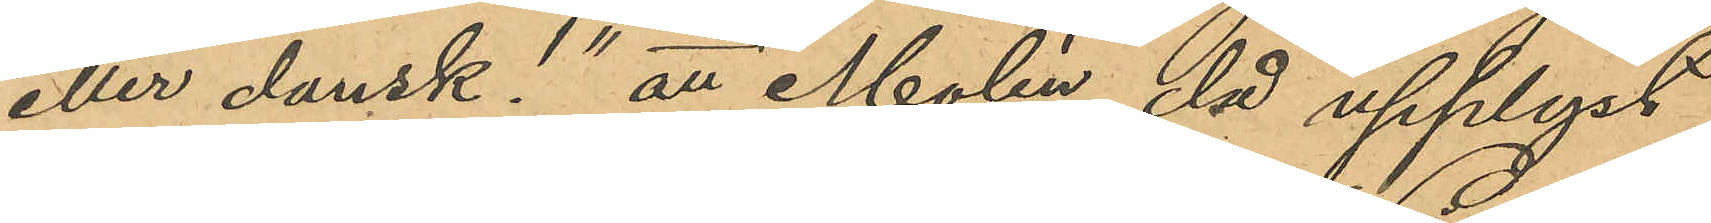eller dansk!" att Molén då upplyst
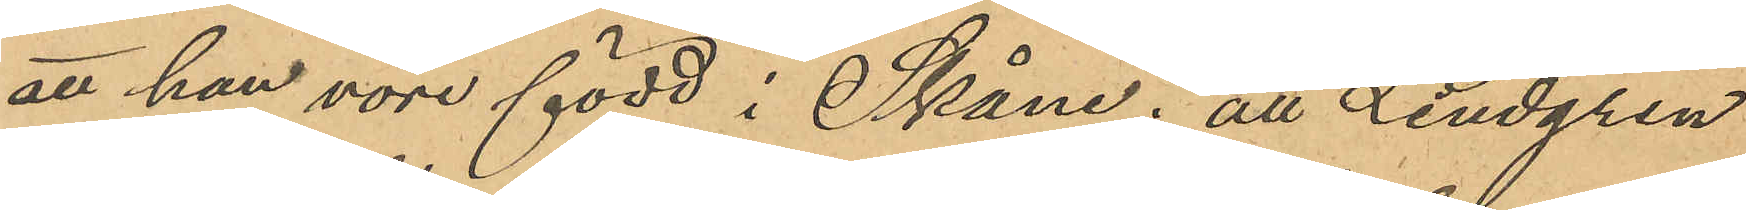att han vore född i Skåne; att Lindgren
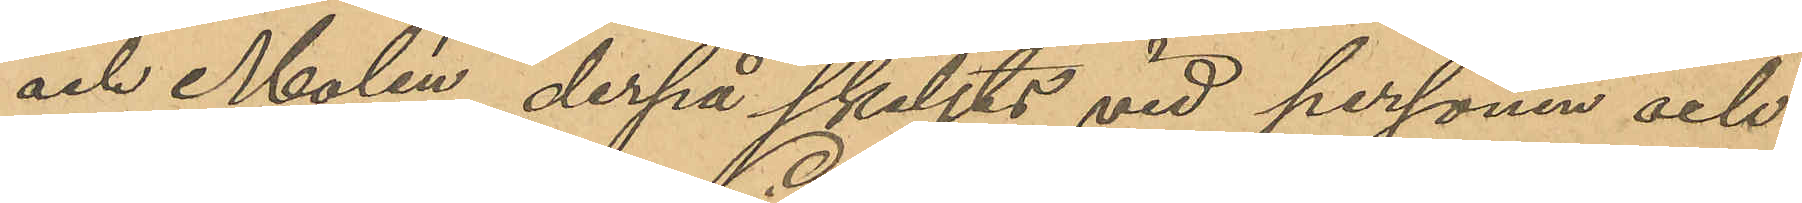och Molén, derpå skiljts vid personen och
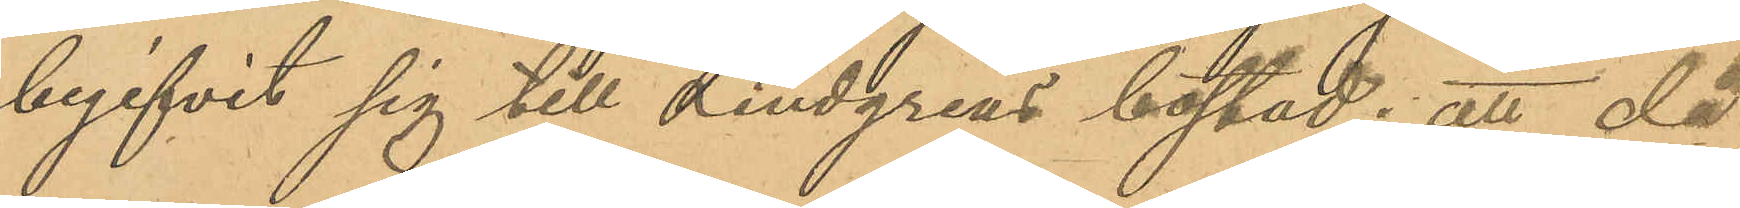begifvit sig till Lindgrens bostad; att då
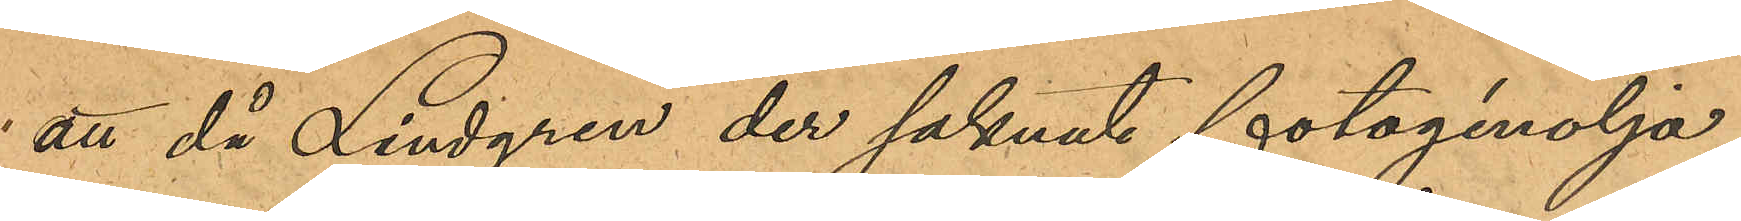att då Lindgren der saknat fotogénolja
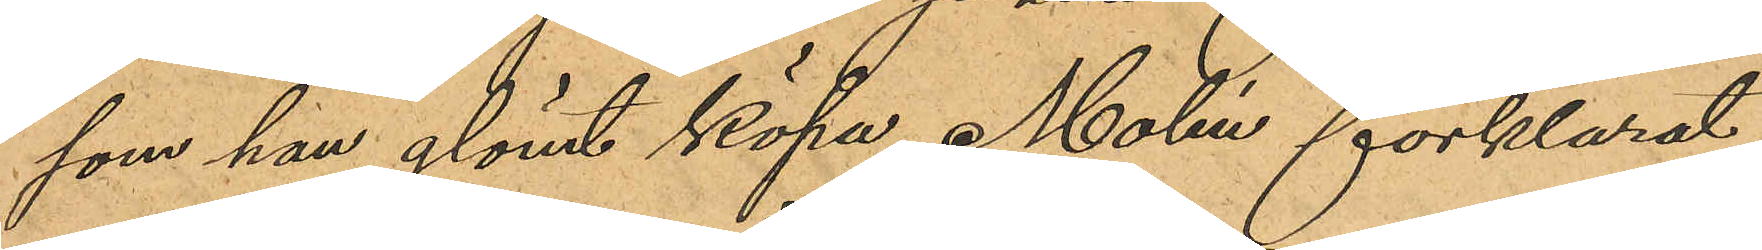som han glömt köpa, Molén förklarat
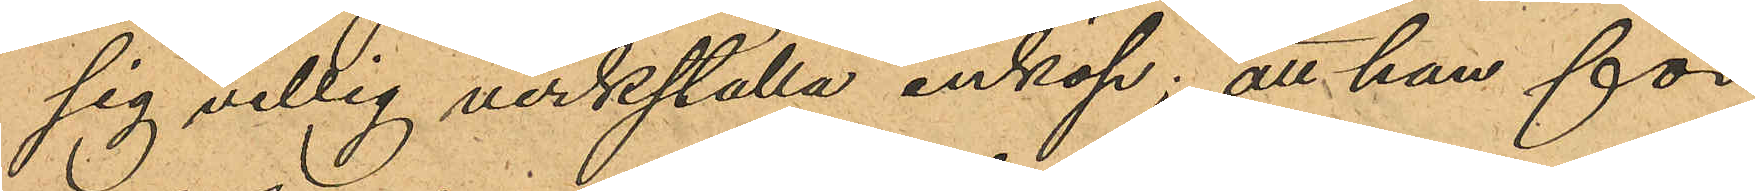sig villig verkställa inköp; att han för
